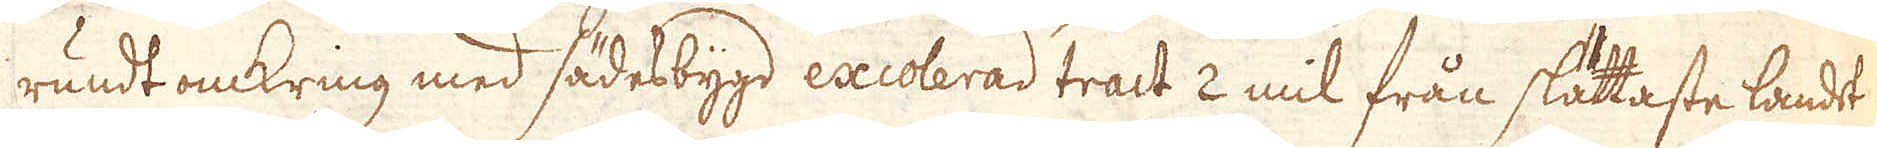rundt omkring med sädesbygd excolerad tract 2 mil från slättaste landet
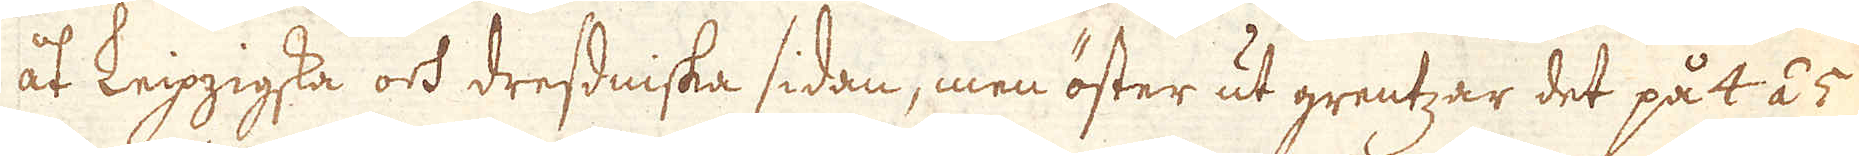åt Leipzigska och dressniska sidan, men öster ut grentzar det på 4 á 5
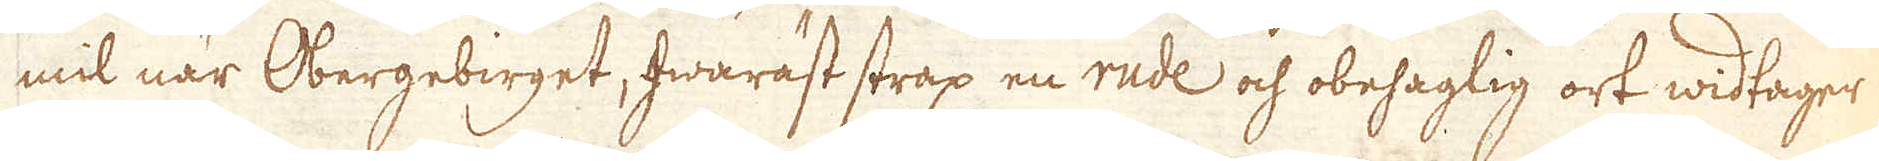mil när Obergebirget, hwaräst strax en rude och obehaglig ort widtager
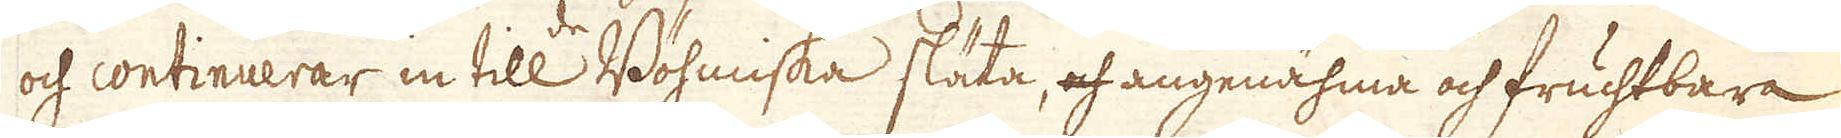och continuerar in till Böhmiska släta, och angenähma och fruchtbara
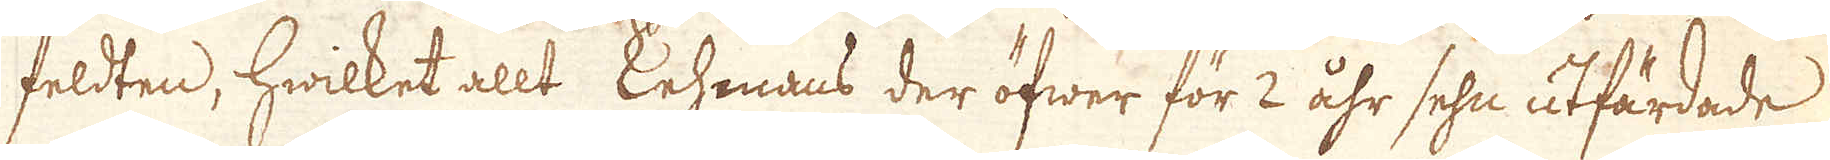feldten, hwilket allt Kehmans der öfwer för 2 åhr sehn utfärdade
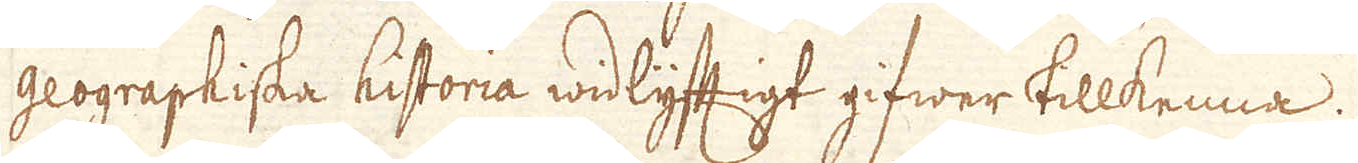geograpiska historia widlyftigt gifwer tillkenna.
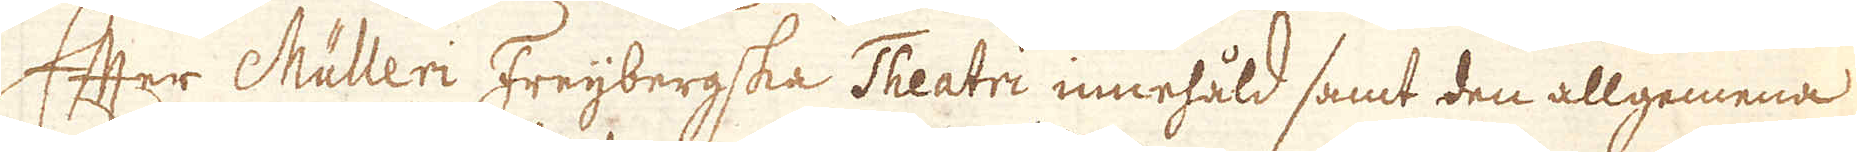Efter Mülleri Freybergska Theatri innehåld samt den allgemena
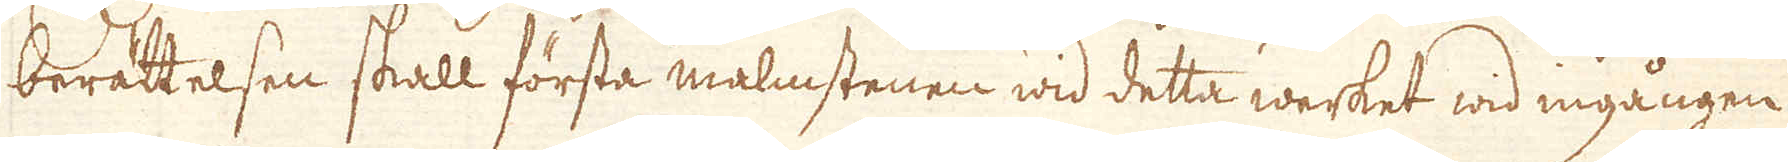berättelsen skall första malmstenen wid detta werket wid ingången
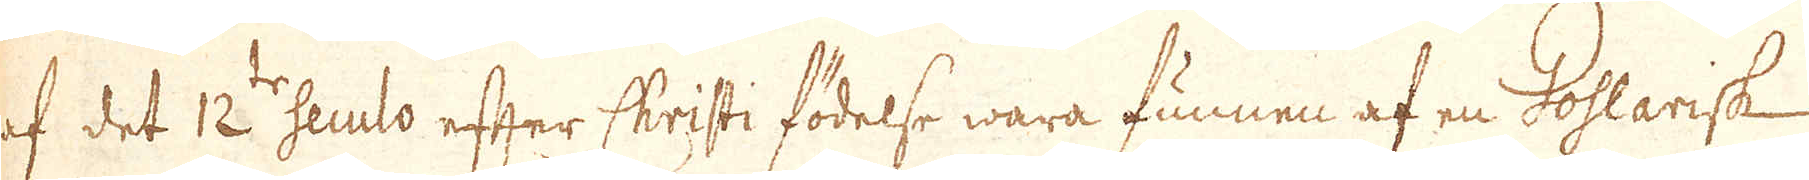af det 12te seulo efter Christi födelse wara funnen af en Gohlarisk
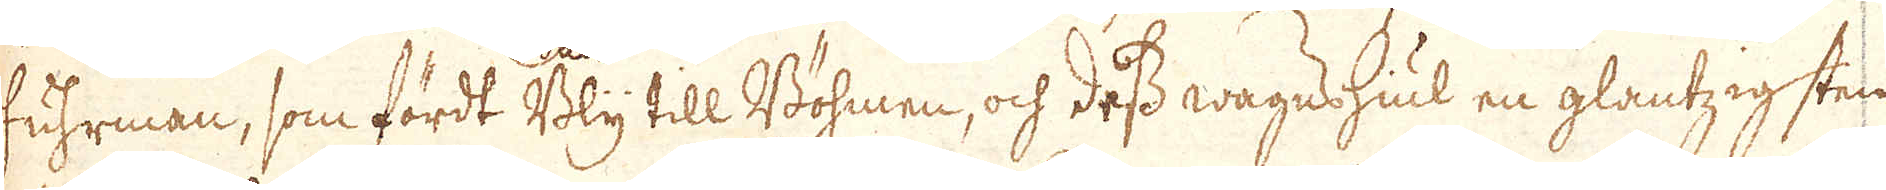fuhrman, som fördt Bly till Böhmen, och dess wagnshiul en glantzig sten
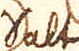Salt
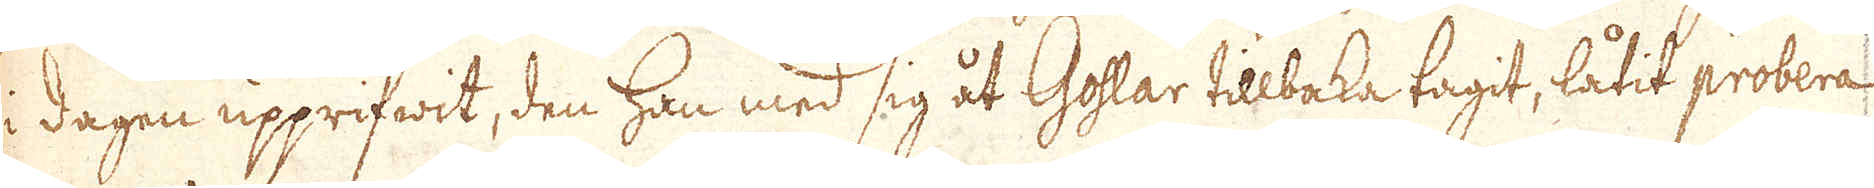i dagen upprifwit, den han med sig åt Goslar tillbaka tagit, låtit probera
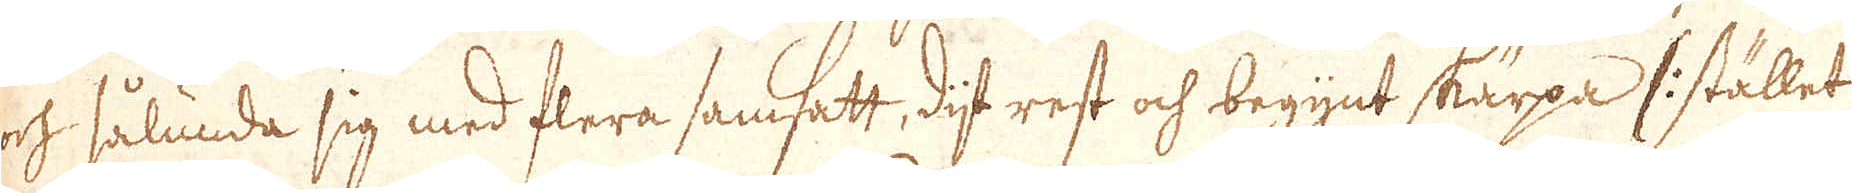och sålunda sig med flera samsatt, dijt rest och begynt skärpa /: i stället
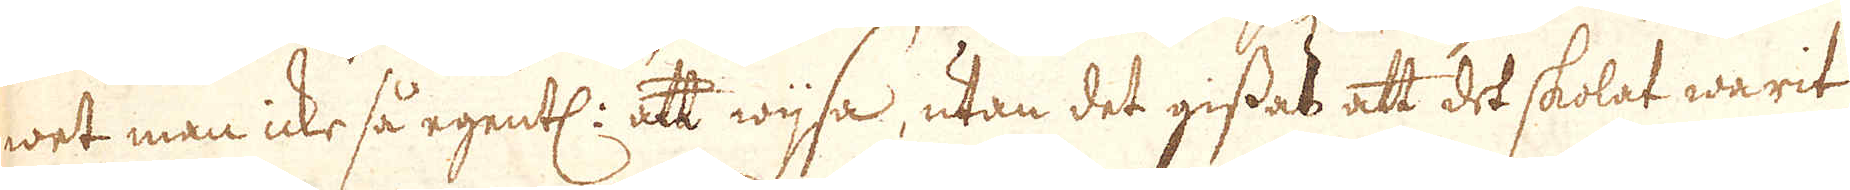wet man icke så egentl: att wijsa, utan det gissas att det skolat warit
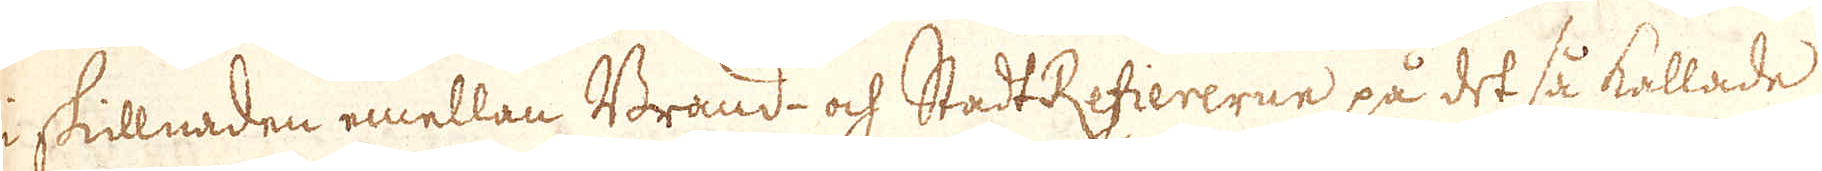i skillnaden emellan Brand- och StadtRefiererne på det så kallade
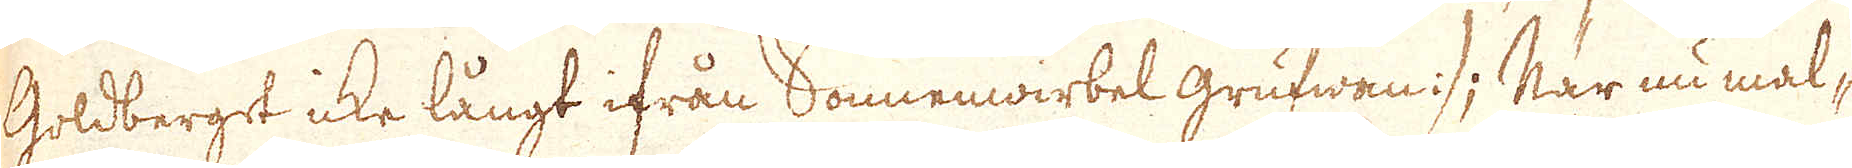Goldberget icke långt ifrån Sonnenwirbel grufwan :/; När nu mal-
